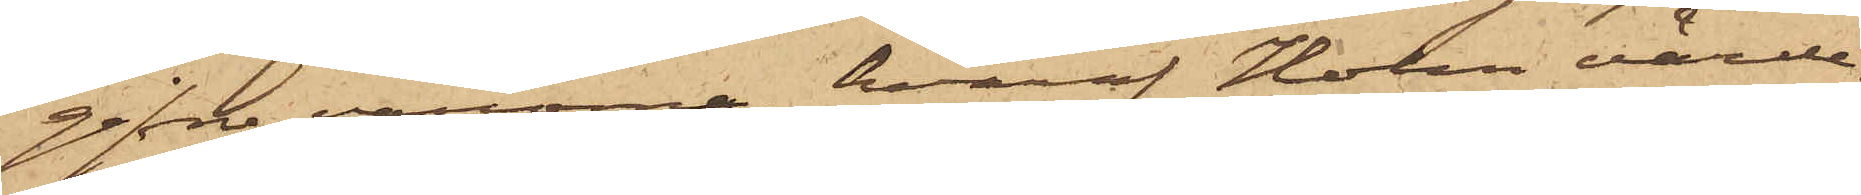gifna varorna, hvaraf Holm värde¬
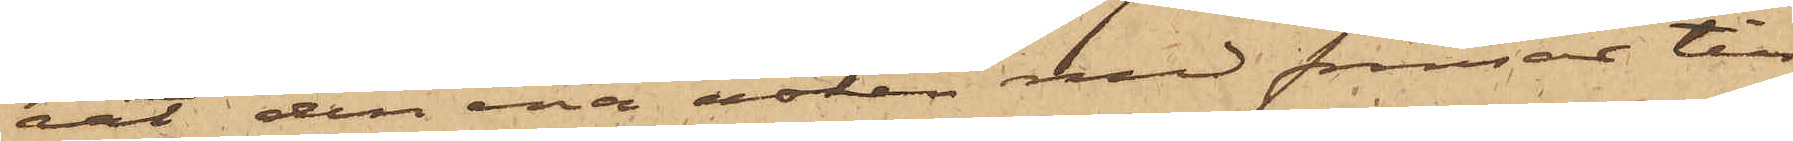rat den ena asken med fransar till
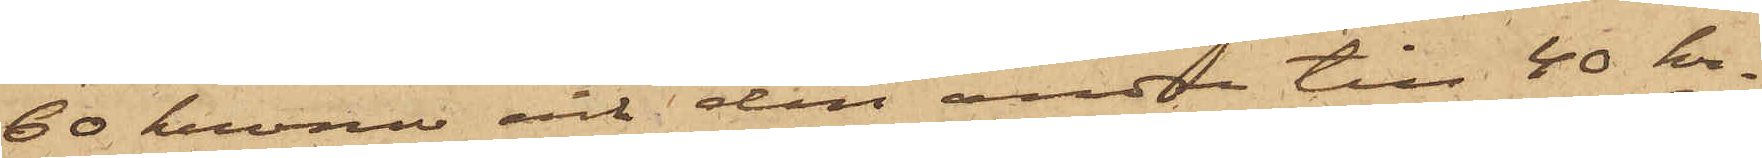60 kronor och den andra till 40 kr,
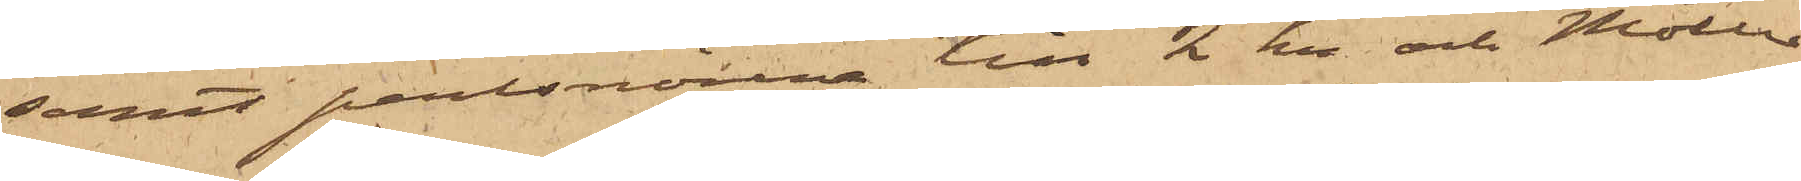samt perlsnörena till 2 kr och Möller
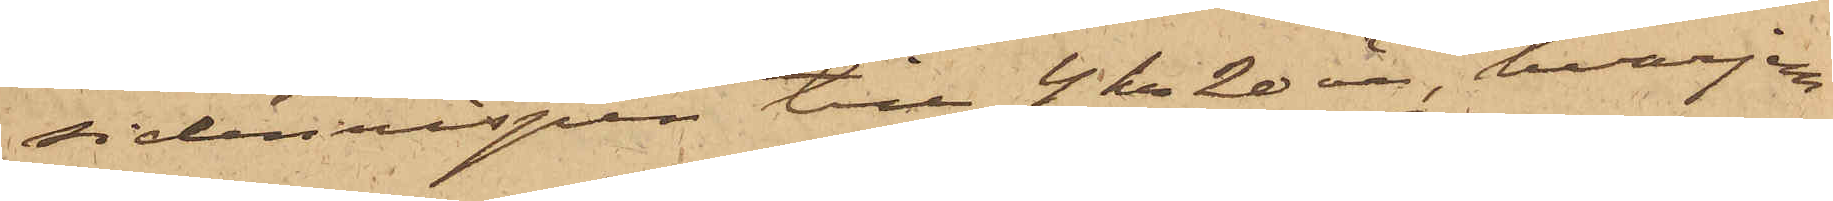sidenrispen till 4 kr 20 öre, hvarjem¬
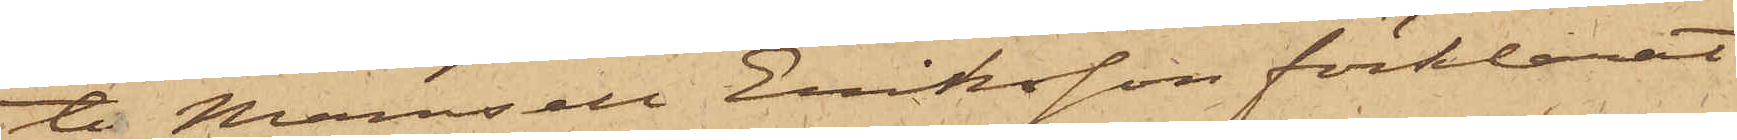te Mamsell Eriksson förklarat
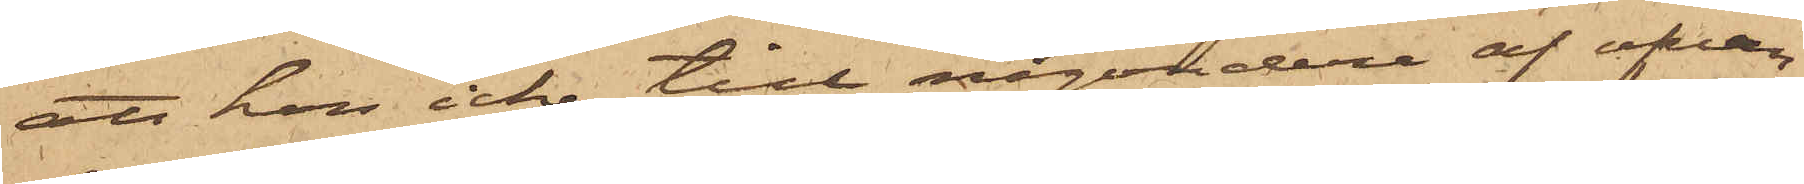att hon icke till någondera af ofvan¬
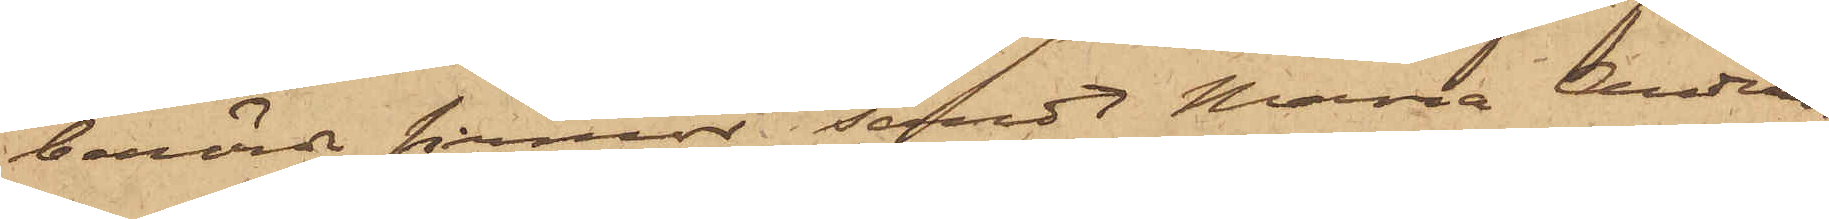berörde firmor sändt Maria Anders¬
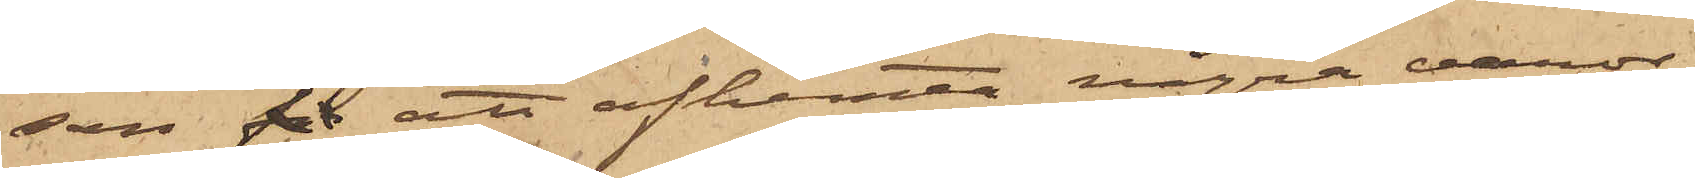son för att afhemta några varor;
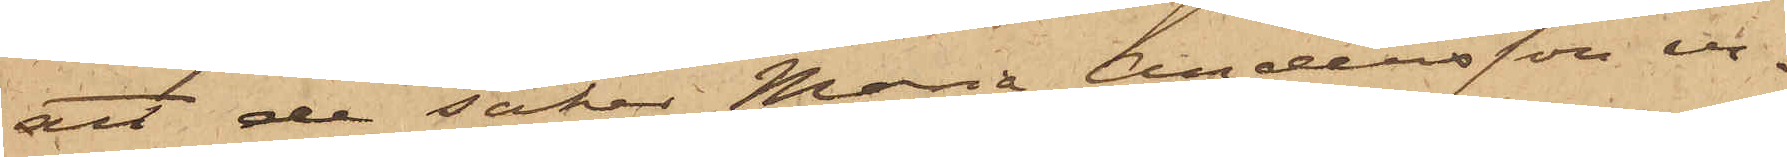att de saker Maria Andersson er¬
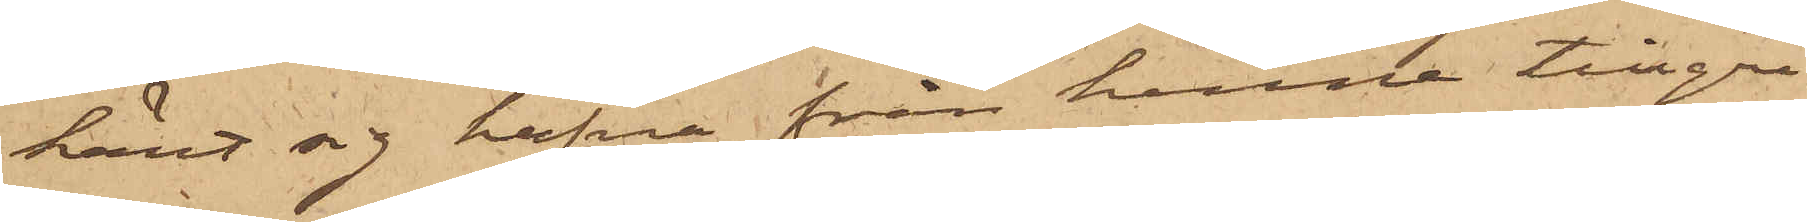känt sig hafva från henne tillgri¬
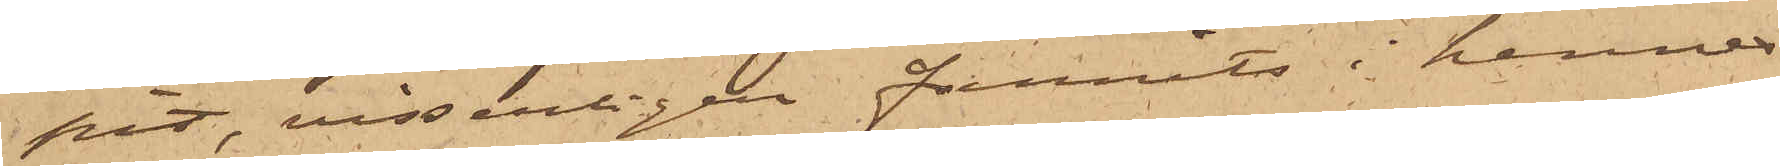pit, visserligen funnits i hennes
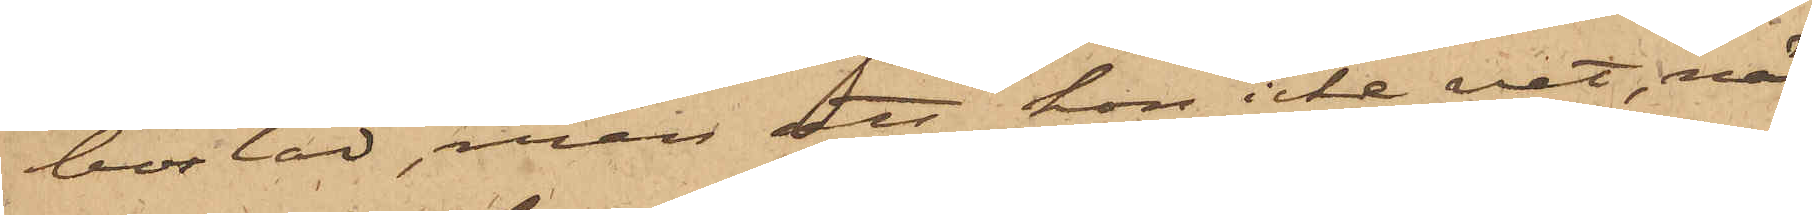bostad, men att hon icke vet, när
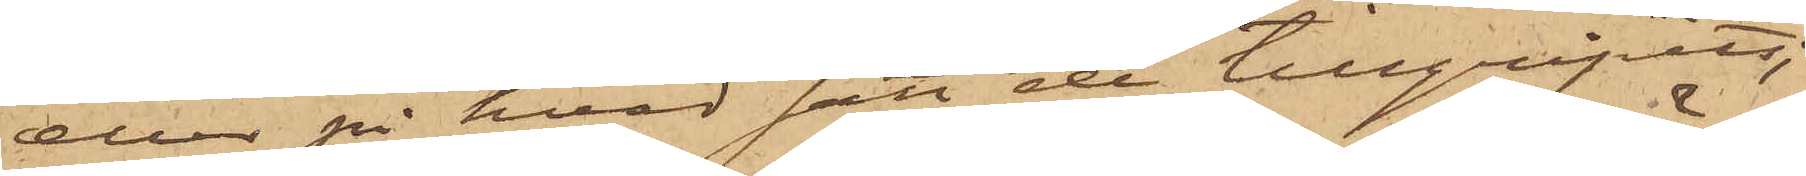eller på hvad sätt de tillgripits;
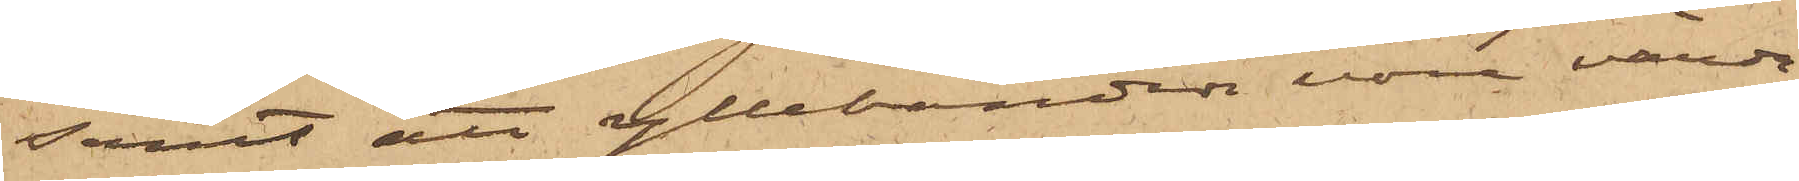samt att yllebanden vore värda
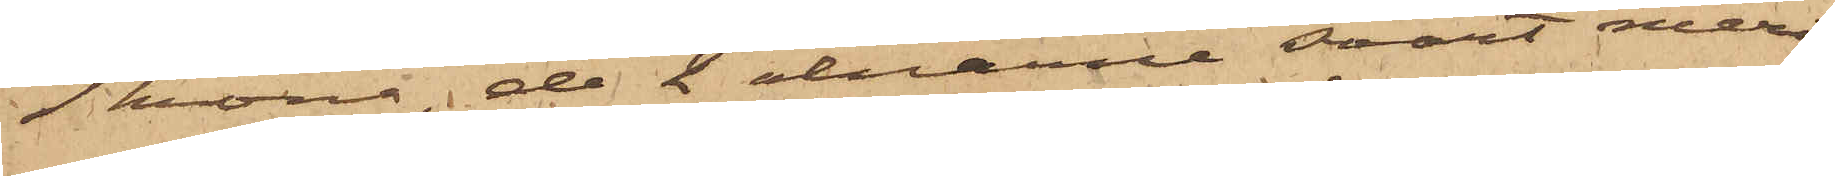1 krona, de 2 alnarne svart meri¬
